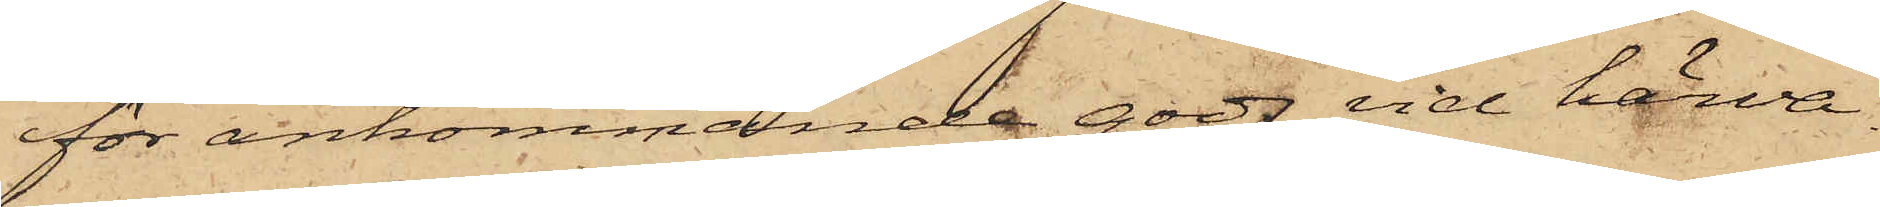för ankommande gods vid härva¬
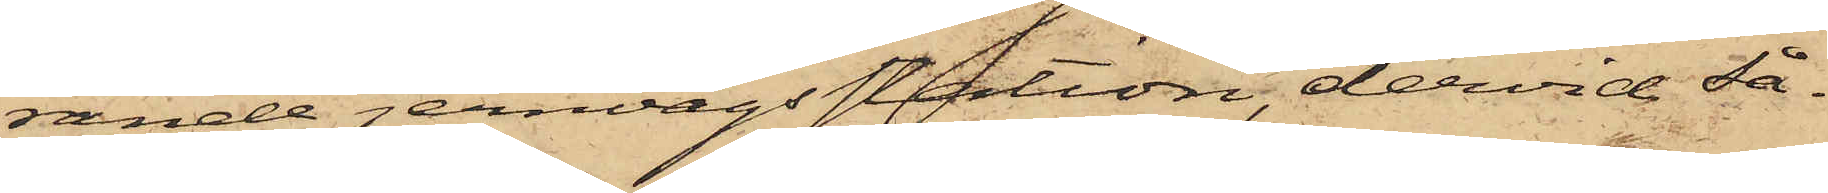rande jernvägsstation, dervid så¬
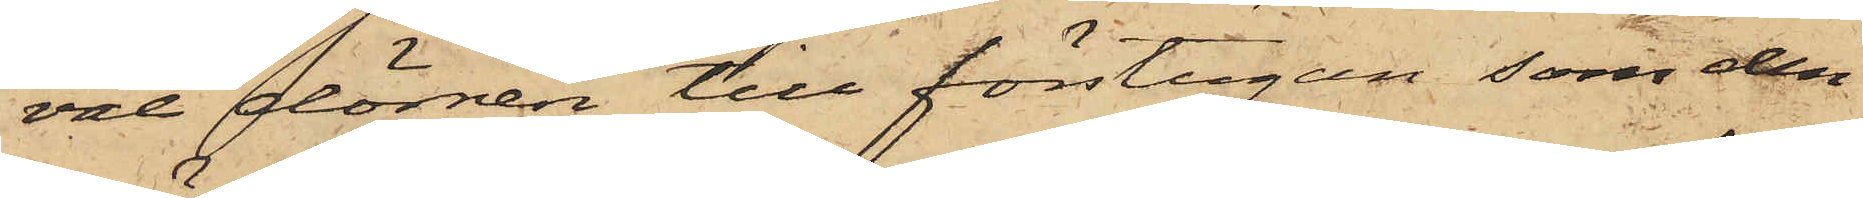väl dörren till förstugan, som den
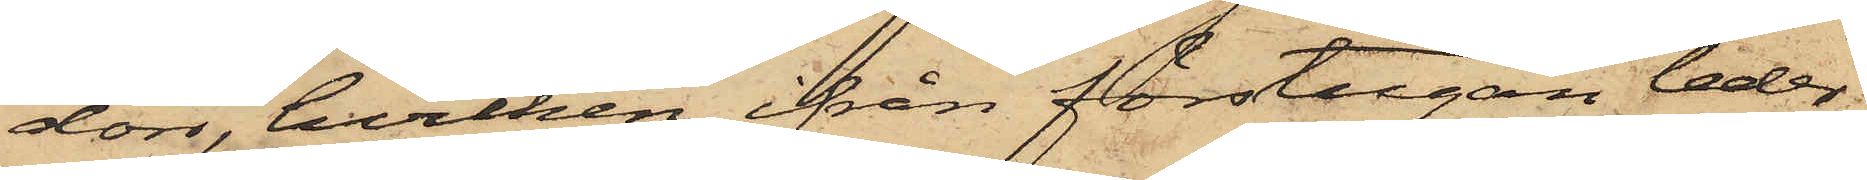dörr, hvilken ifrån förstugan leder
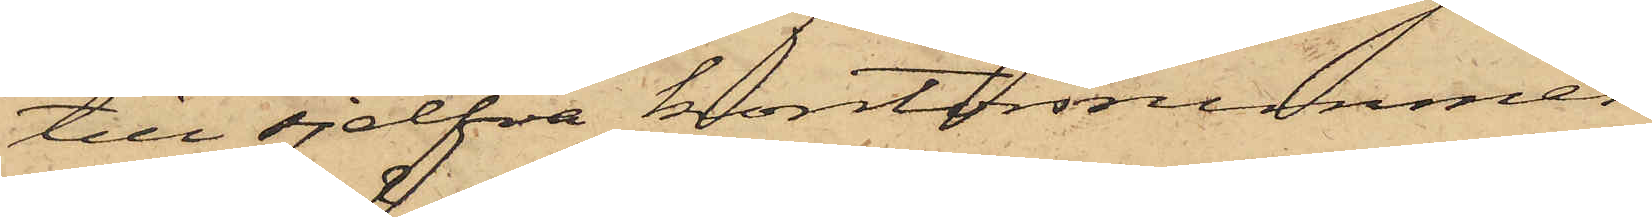till sjelfva kontorsrummen
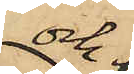och
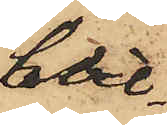hvil¬
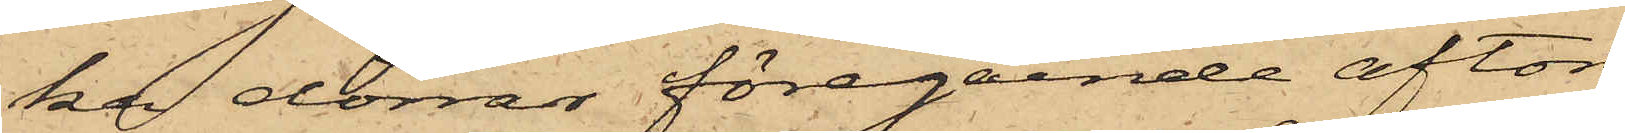ka dörrar föregående afton
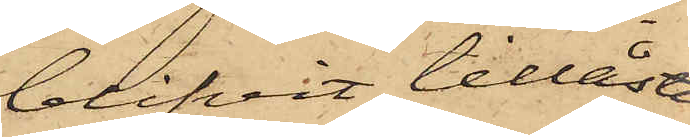blifvit tillåsta
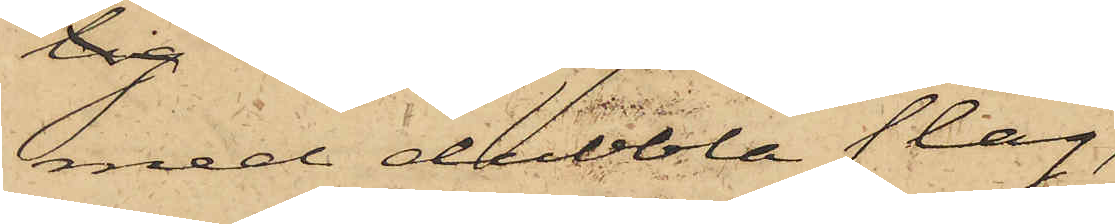med dubbla slag,
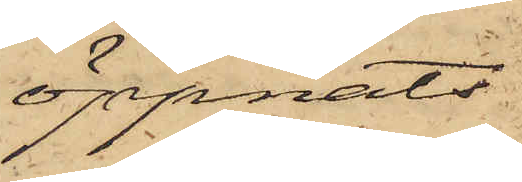öppnats
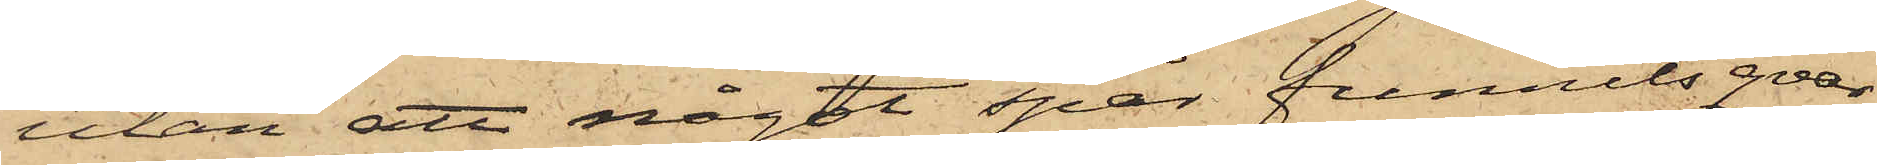utan att något spår funnits qvar,
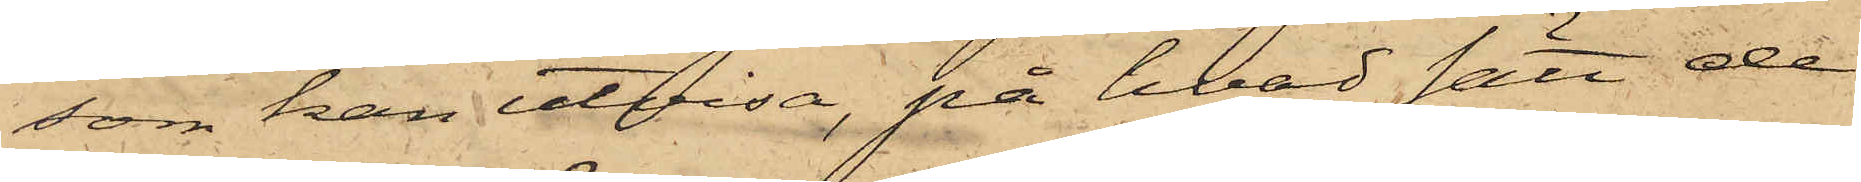som kan utvisa, på hvad sätt de
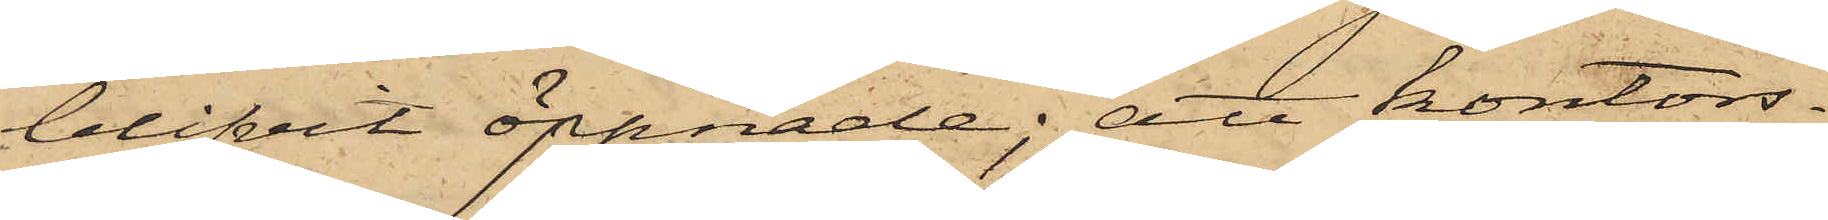blifvit öppnade; att kontors¬
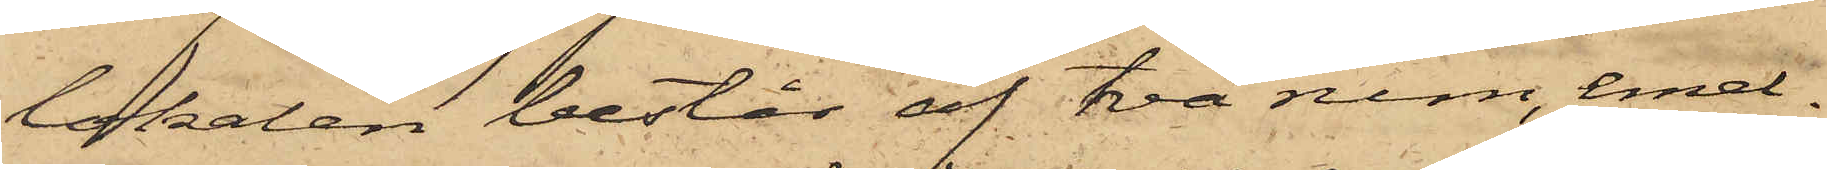lokalen består af två rum, emel¬
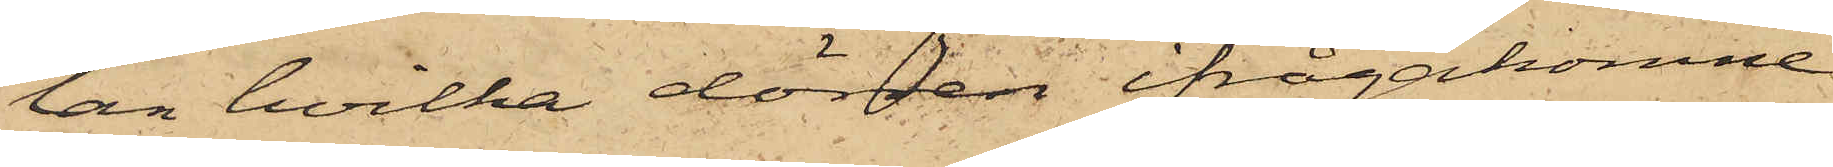lan hvilka dörren ifrågakomne
